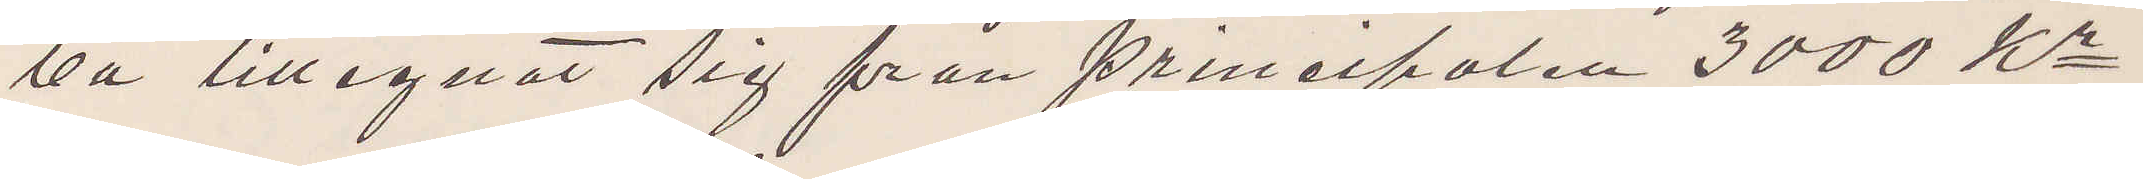va tillegnat sig från principalen 3000 Kr.
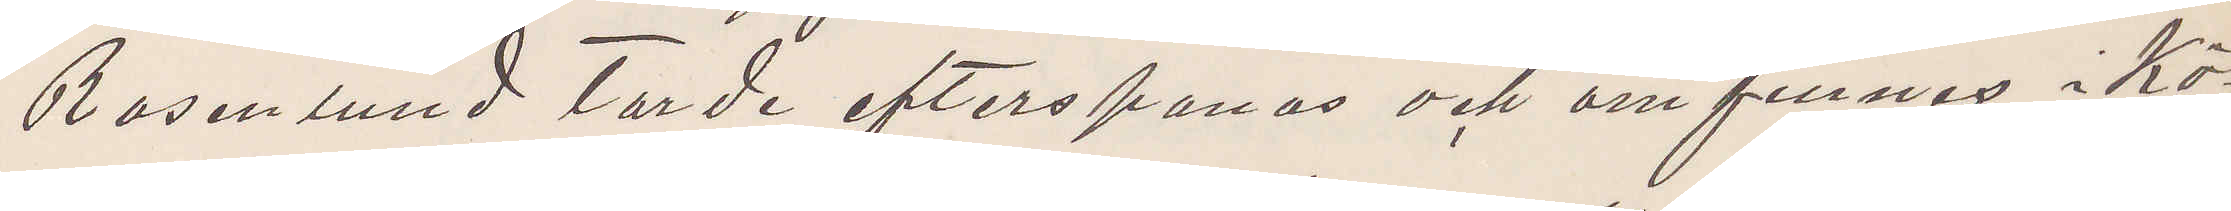Rosenlund torde efterspanas och om finnas i Kö¬
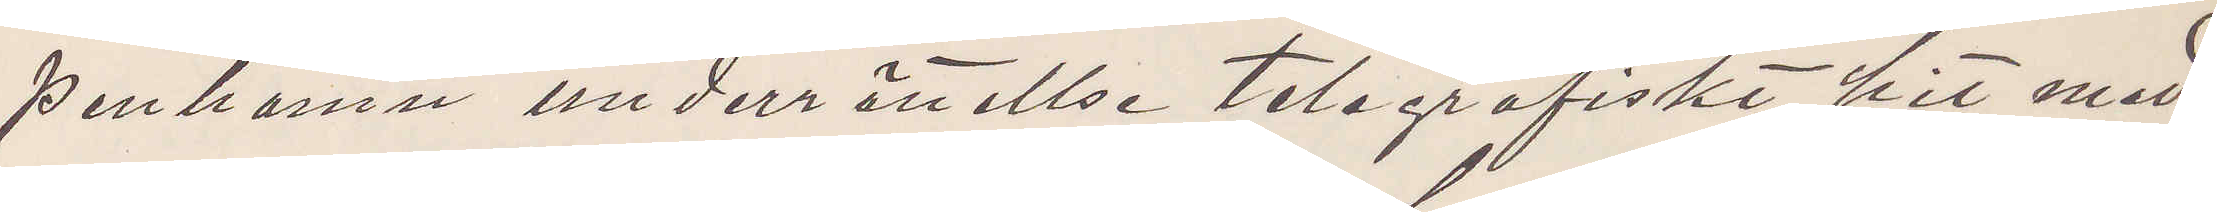penhamn underrättellse telegrafiskt hit med¬
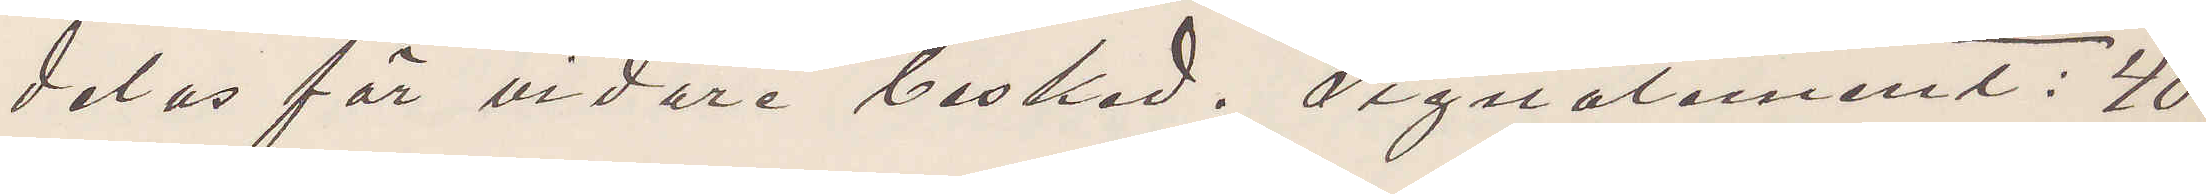delas för vidare besked. Signalement: 40
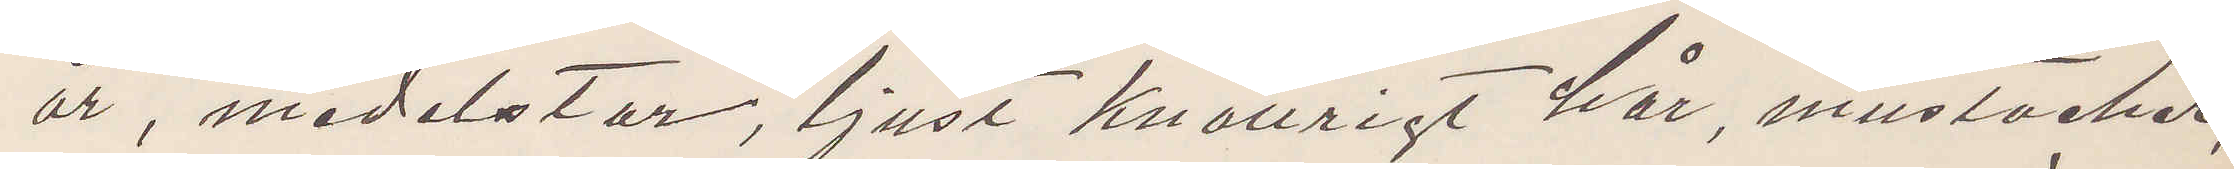år, medelstor, ljust knallrigt här, mustacher,
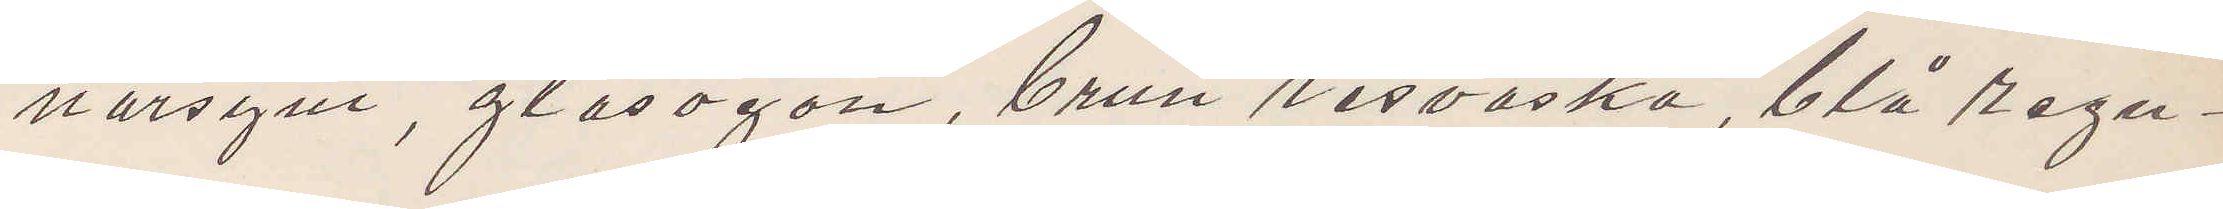närsynt, glasögon, brun resväska, blå regn¬
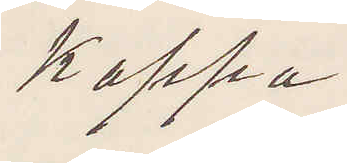kappa.
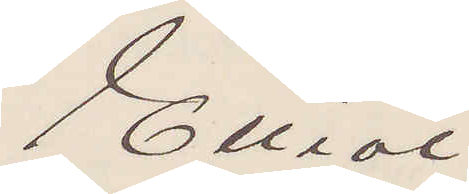Elliot
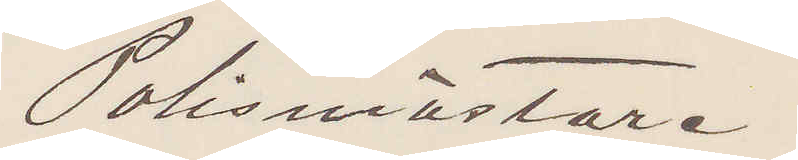Polismästare.
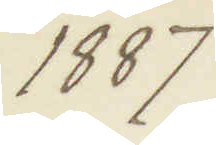1887
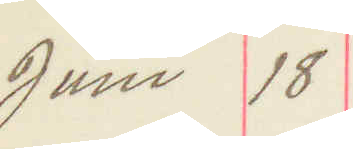Jun 18
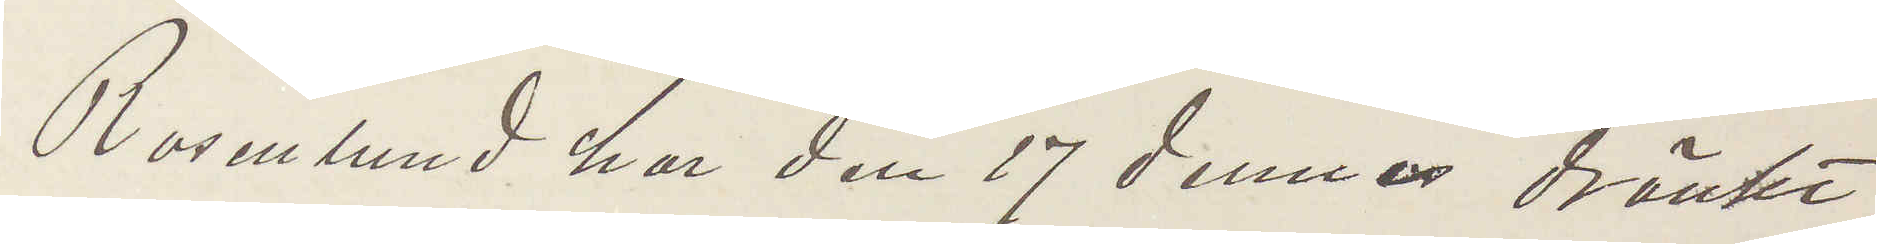Rosenlund har den 17 dennes dränkt
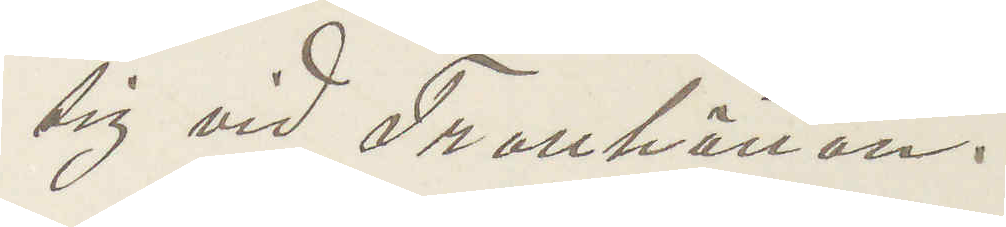sig vid Trollhättan.
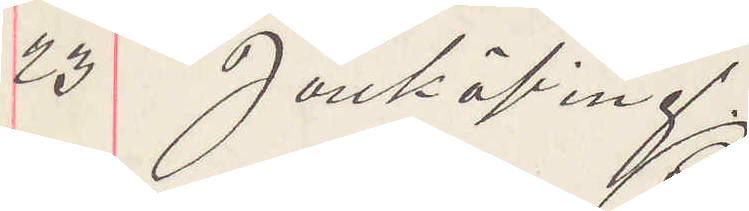25 Jönköping.
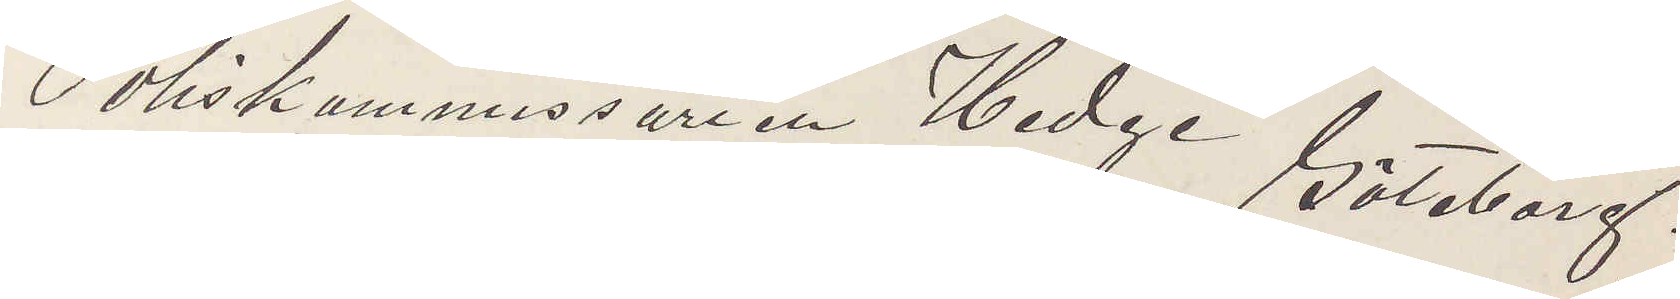Poliskammissarien Hedge Göteborg.
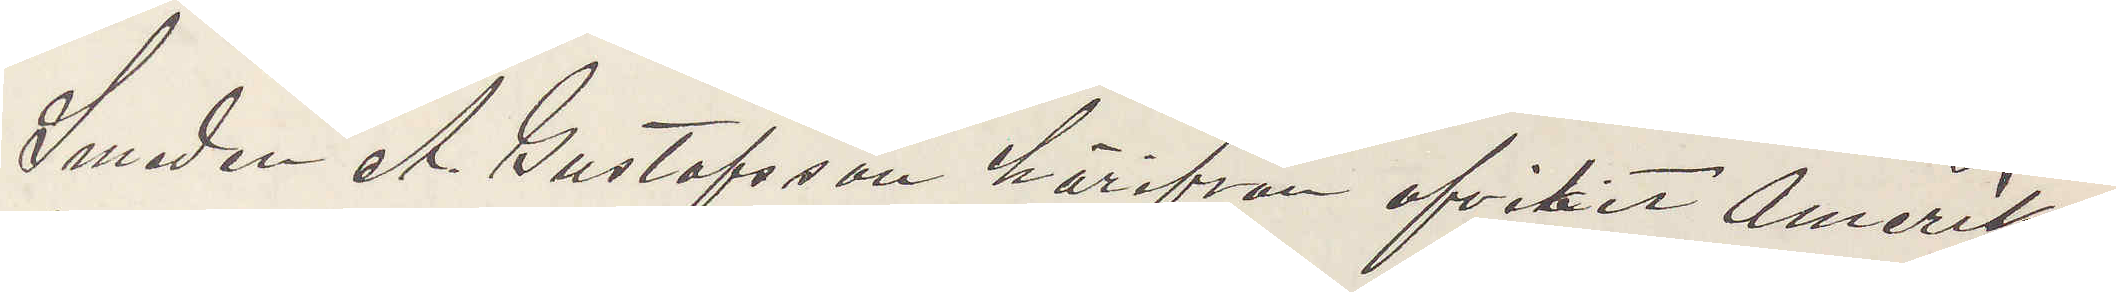Smeden A. Gustafsson härifrån afvikit Amerika¬
